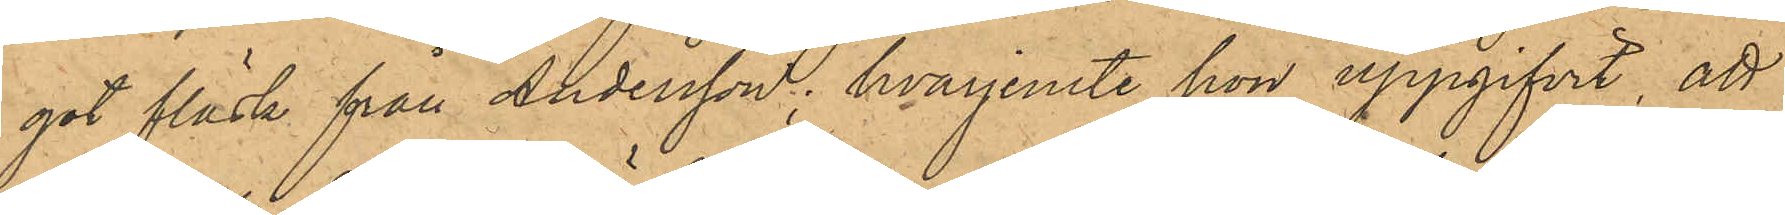got fläsk från Andersson; hvarjemte hon uppgifvit, att
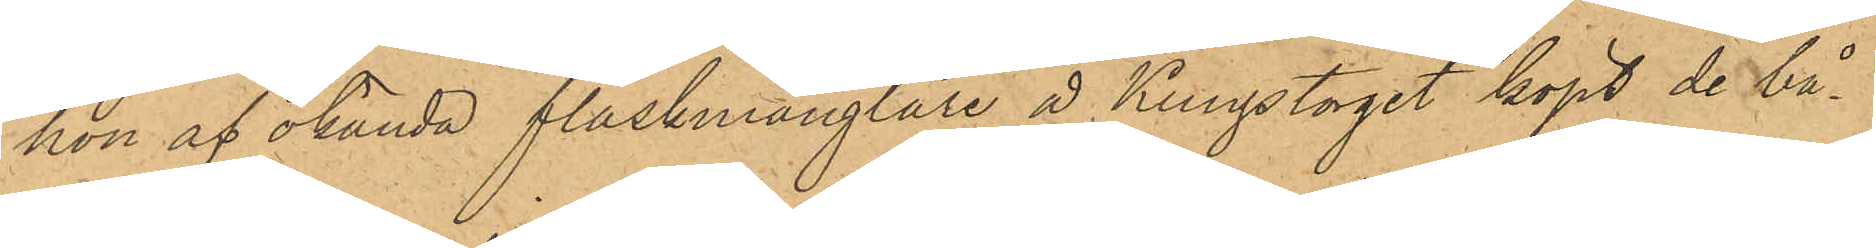hon af okända fläskmånglare å Kungstorget köpt de bå¬
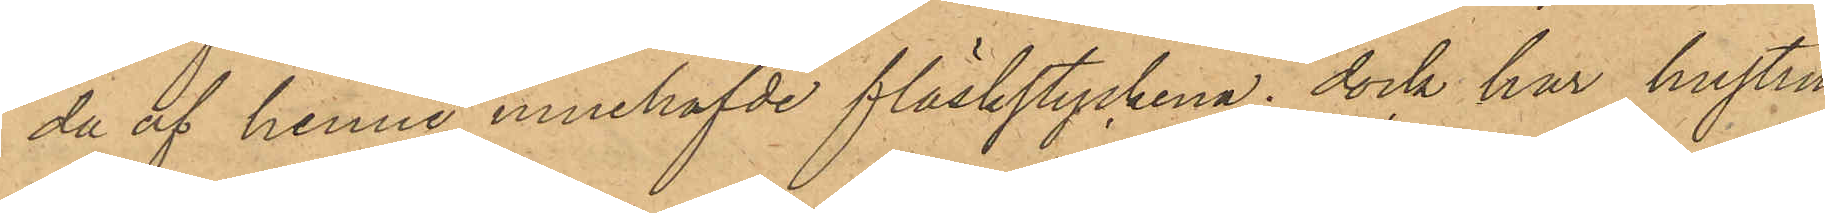da af henne innehafvde fläskstyckena; dock har hustru
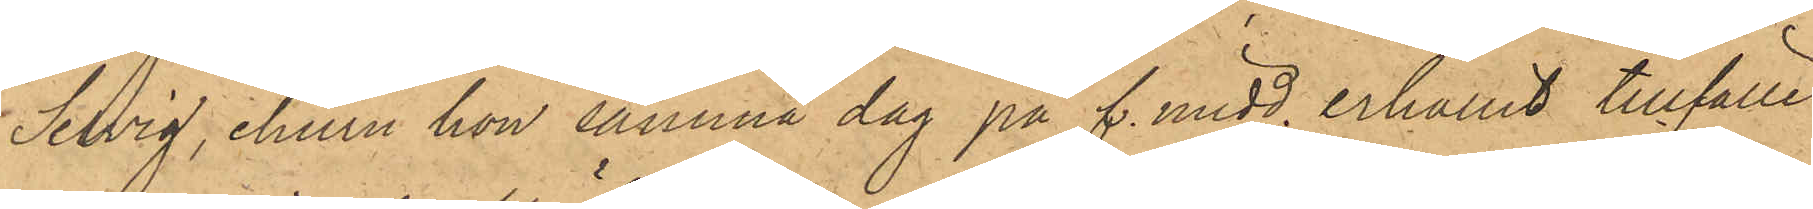Selvig, ehuru hon samma dag på f. midd. erhållit tillfälle
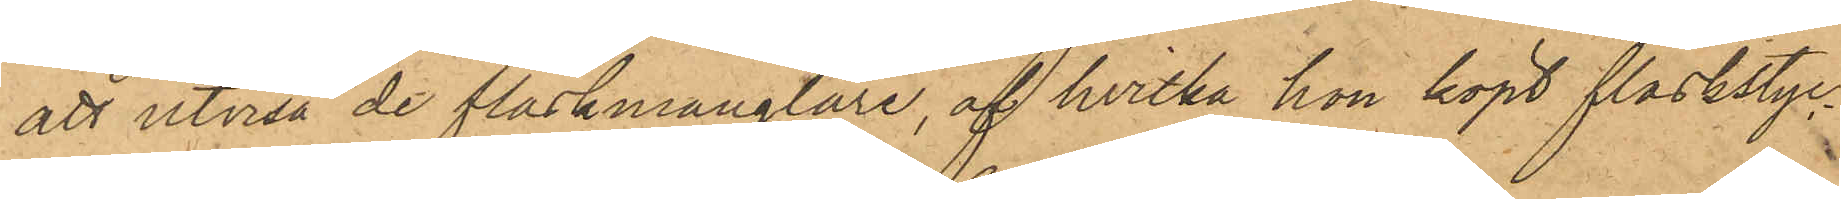att utvisa de fläskmånglare, af hvilka hon köpt fläskstyc¬
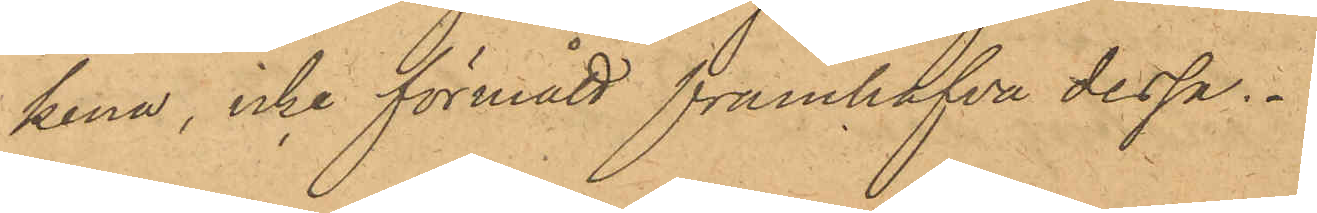kena, icke förmått framhafva dessa.
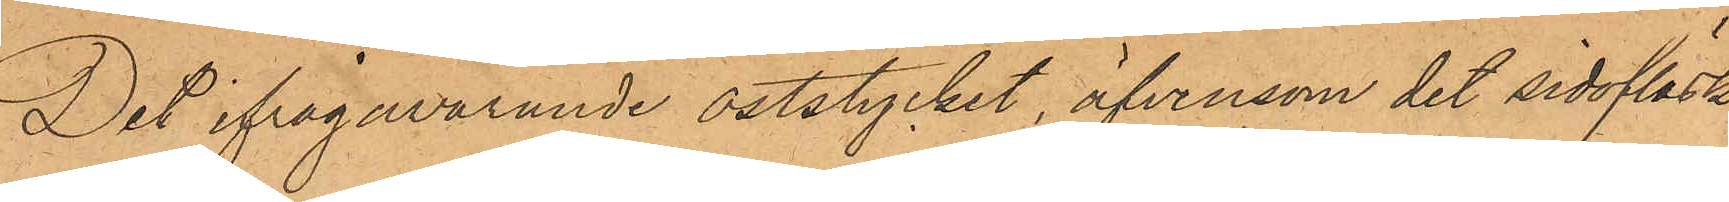Det ifrågavarande oststycket, äfvensom det sidofläsk,
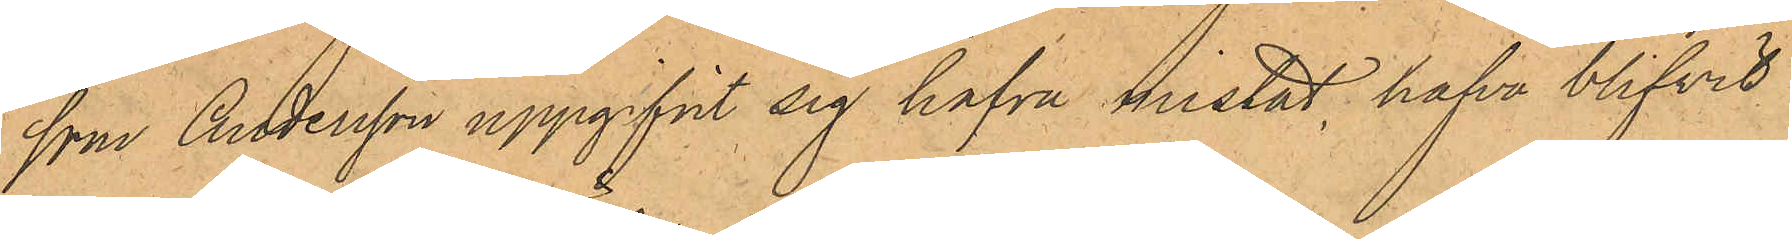som Andersson uppgifvit sig hafva mistat, hafva blifvit
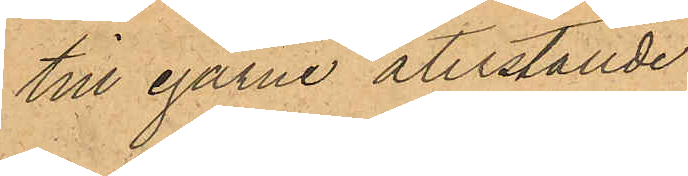till egarne återställde.
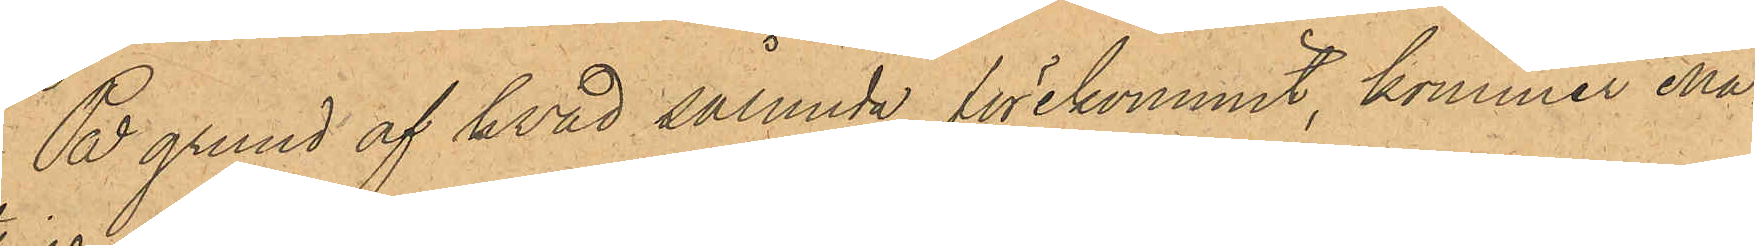På grund af hvad sålunda förekommit, kommer Ma¬
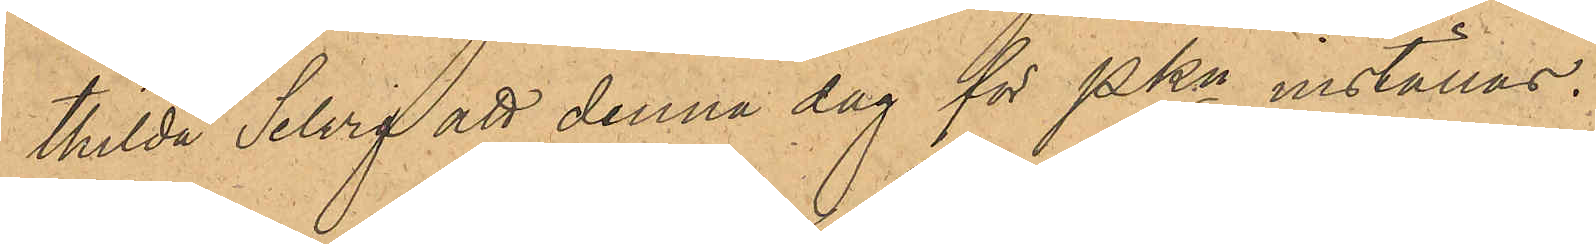thilda Selvig att denna dag för PKn inställas.
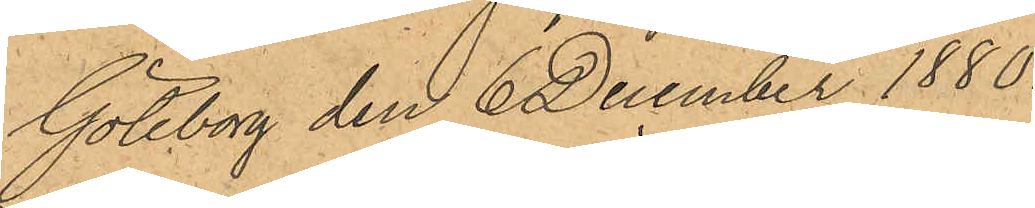Göteborg den 6 December 1880.
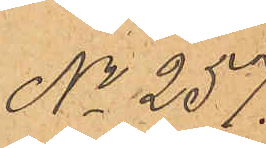No 257.
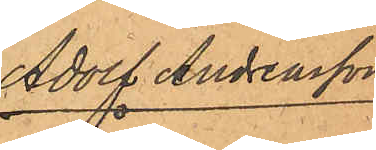Adolf Andreasson
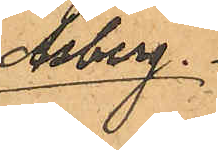Åsberg.
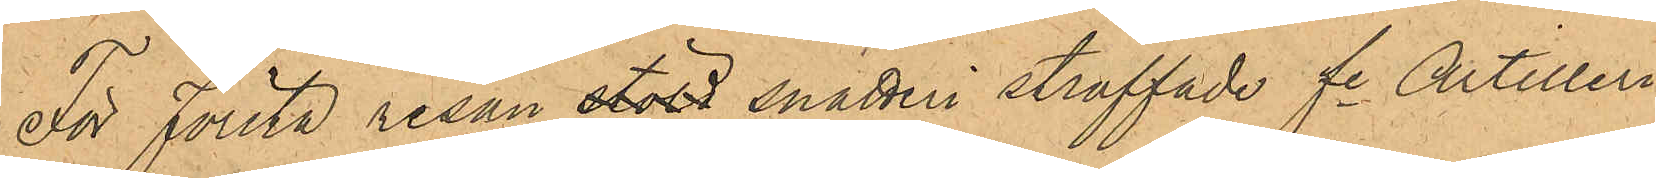För Första resan stöld snatteri straffade fe Artilleri¬
